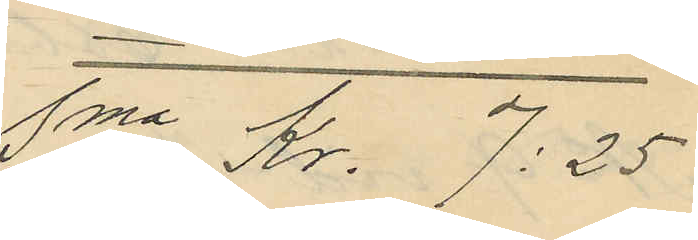Sma kr. 7:25
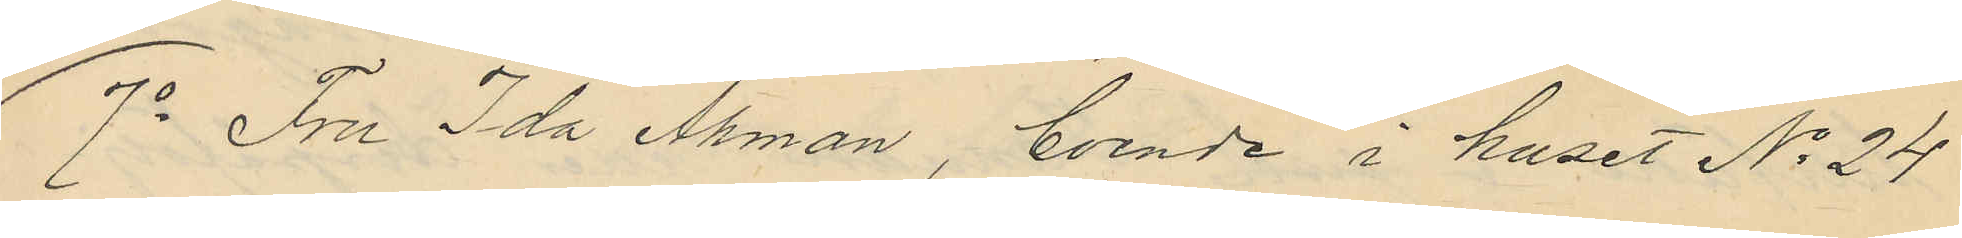7o Fru Ida Åhman, boende i huset No 24
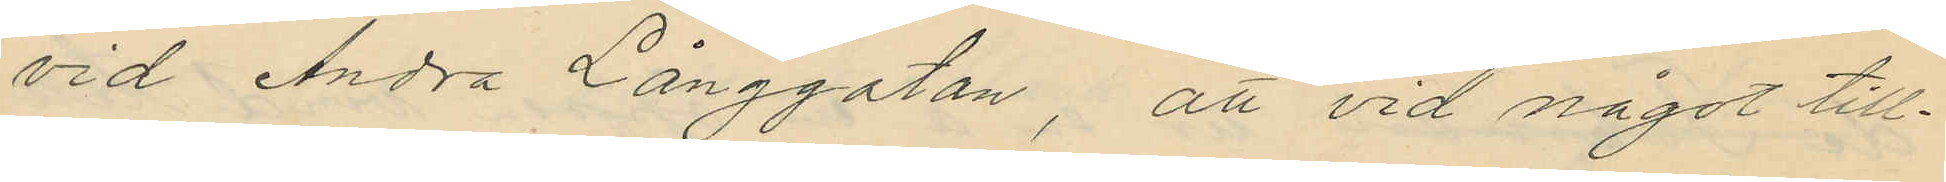vid Andra Långgatan, att vid något till¬
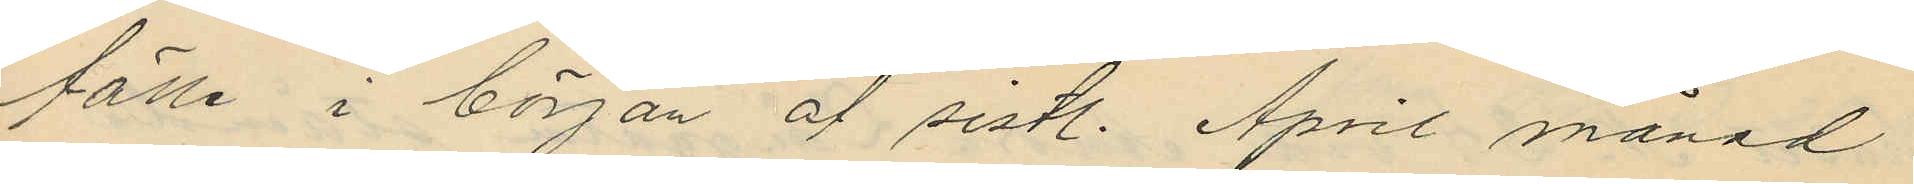fälle i början af sistl. April månad
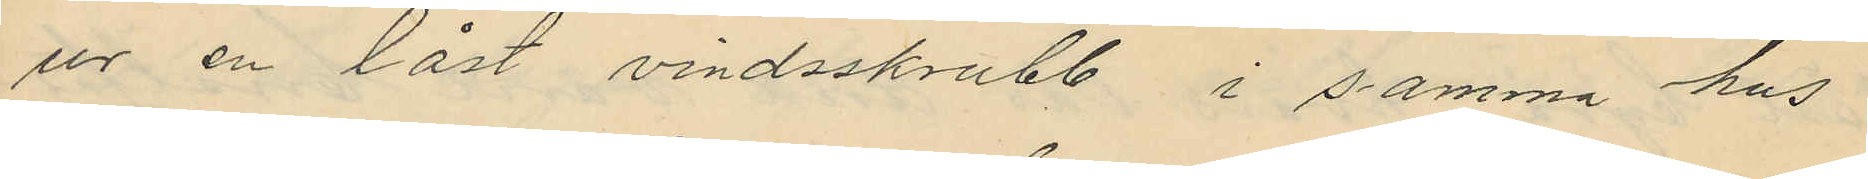ur en låst vindsskrubb i samma hus
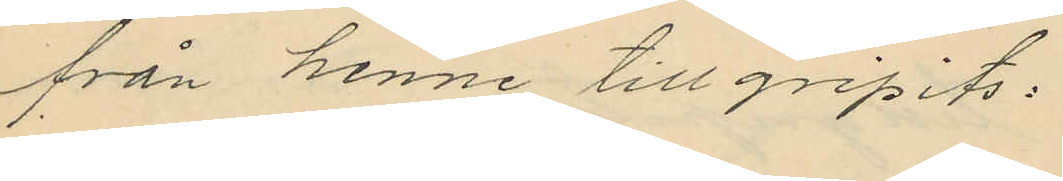från henne tillgripits:
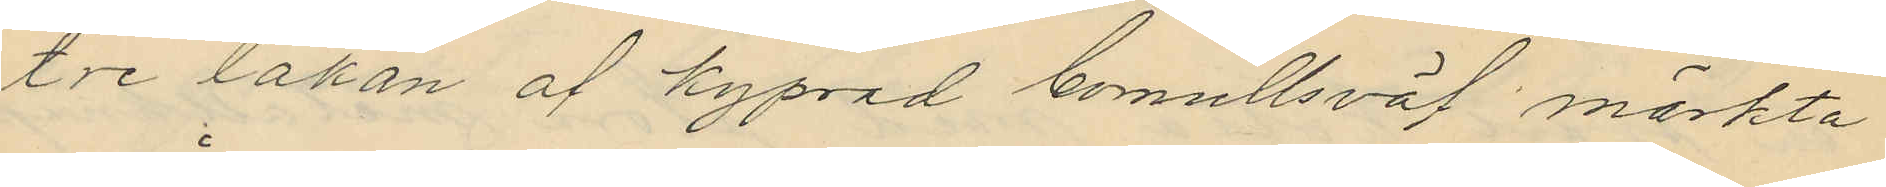tre lakan af kyprad bomullsväf märkta
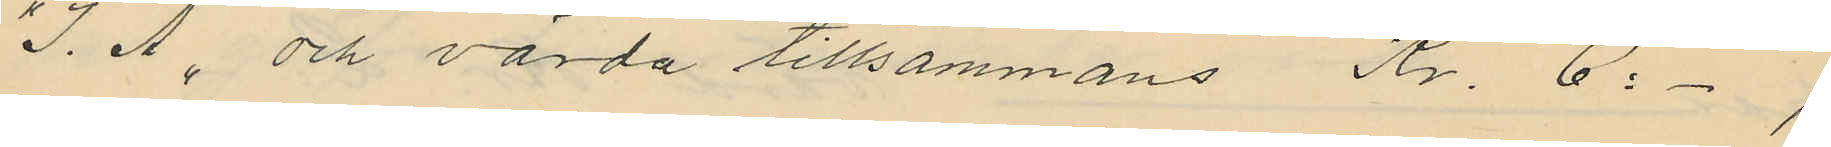"I. Å", och värda tillsammans Kr. 6:-,
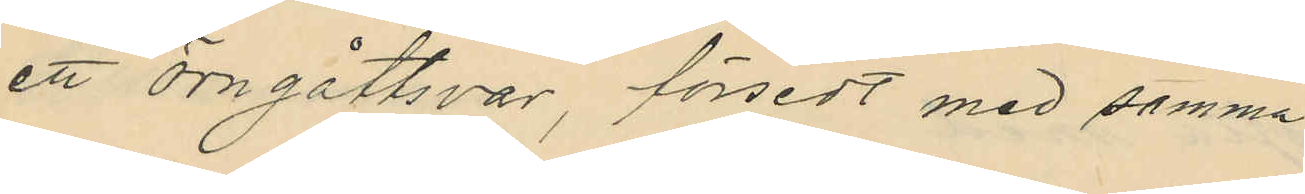ett örngåttsvar, försedt med samma
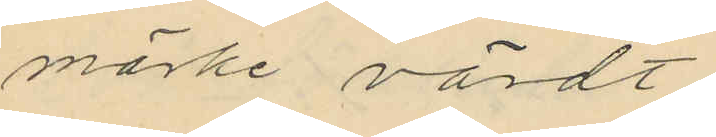märke värdt
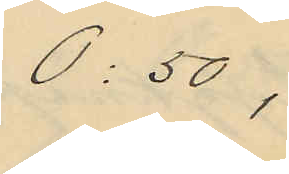0:50,
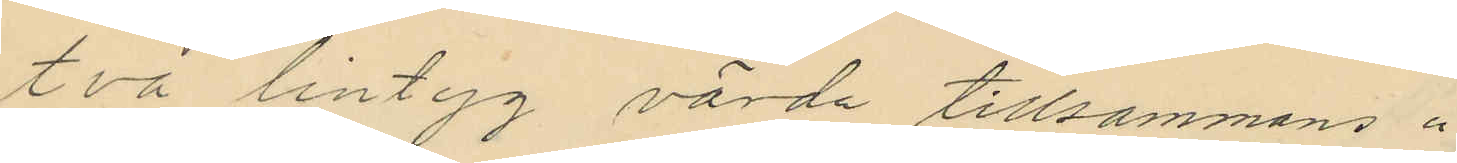två lintyg värda tillsammans "
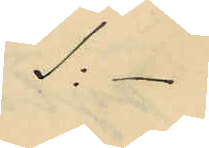1:-
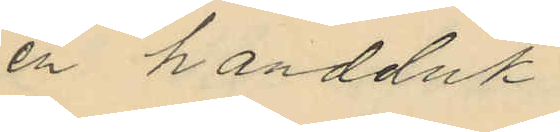en handduk
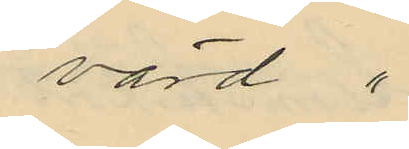värd "
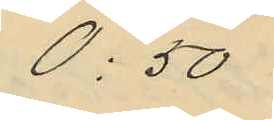0:50
